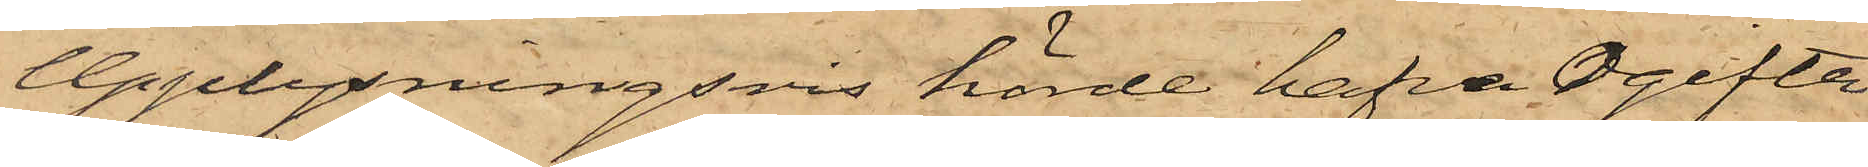Upplysningsvis hörde hafva Ogifta
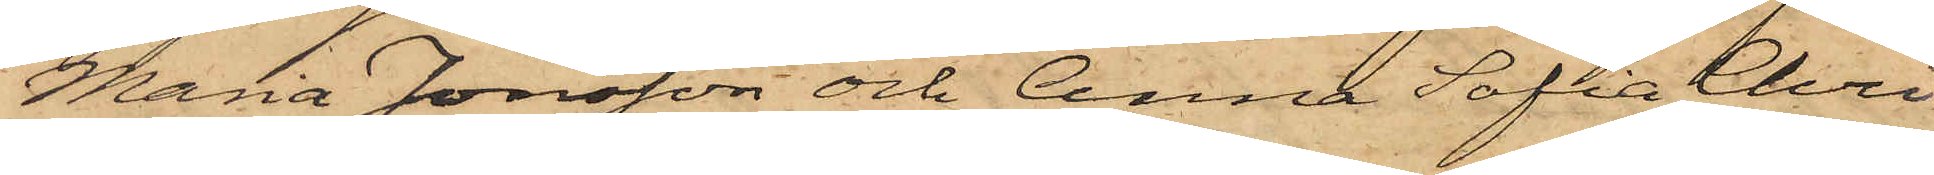Maria Jonsson och Anna Sofia Chri¬
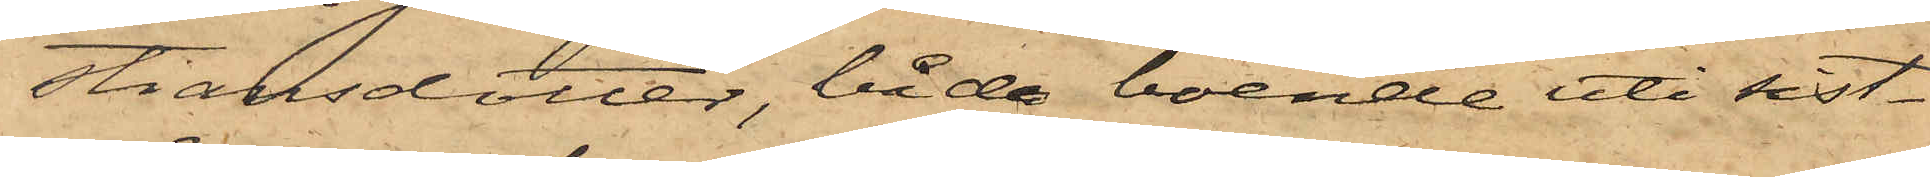stiansdotter, båda boende uti sist¬
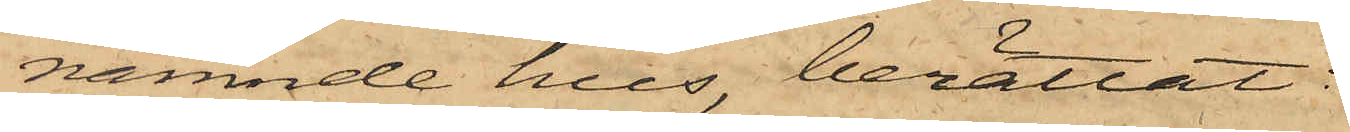nämnde hus, berättat:
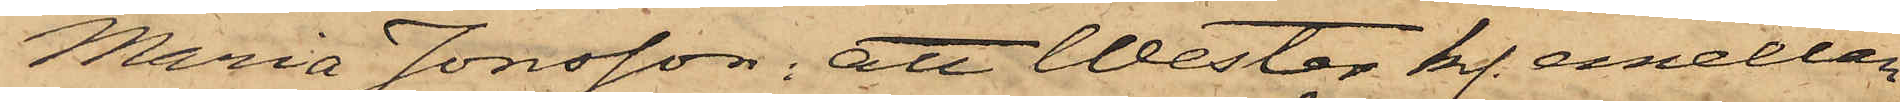Maria Jonsson; att Wester kl. emellan
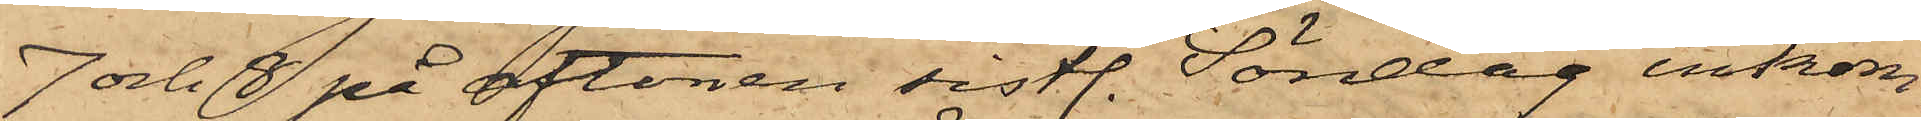7 och 8 på aftonen sistl. Söndag inkom¬
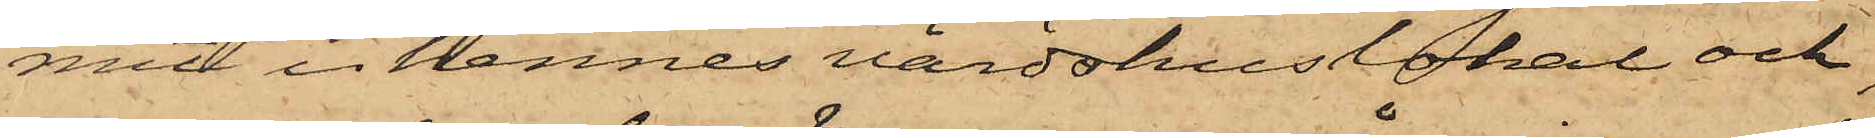mit i hennes värdshuslokal och
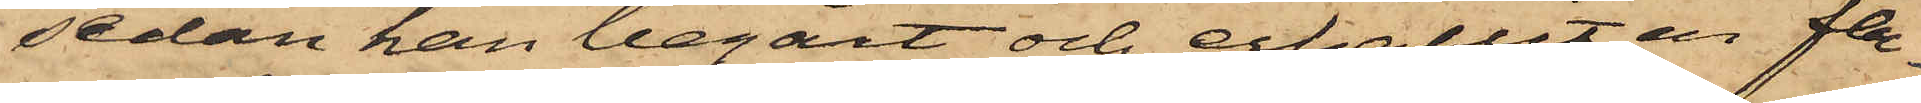sedan han begärt och erhållit en fla¬
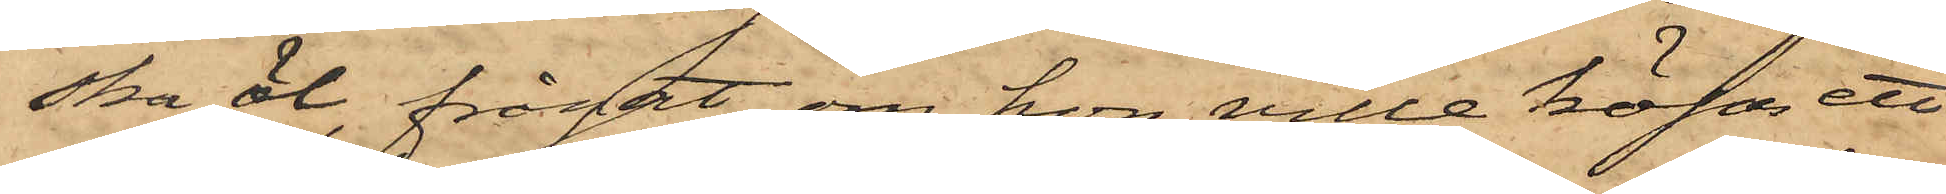ska öl frågat, om hon ville köpa ett
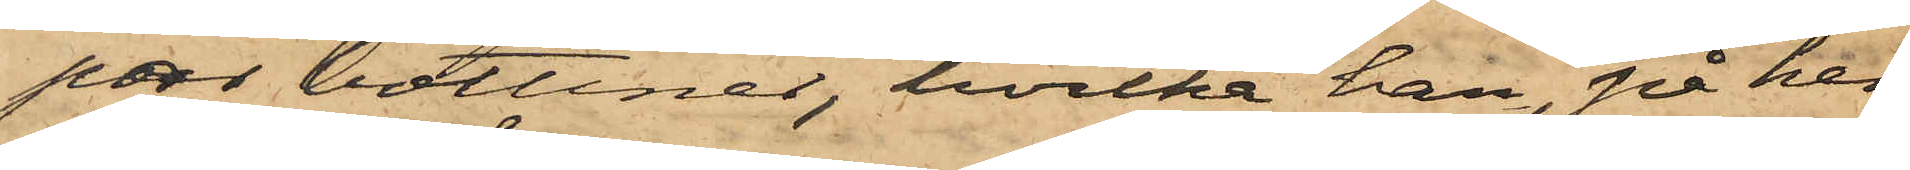par bottiner, hvilka han, på hen¬
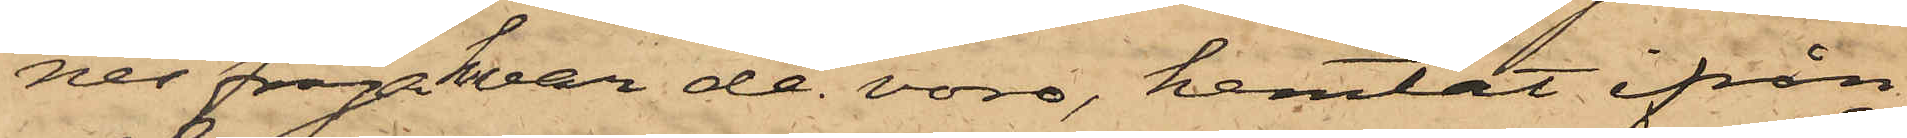nes fråga var de voro, hemtat ifrån
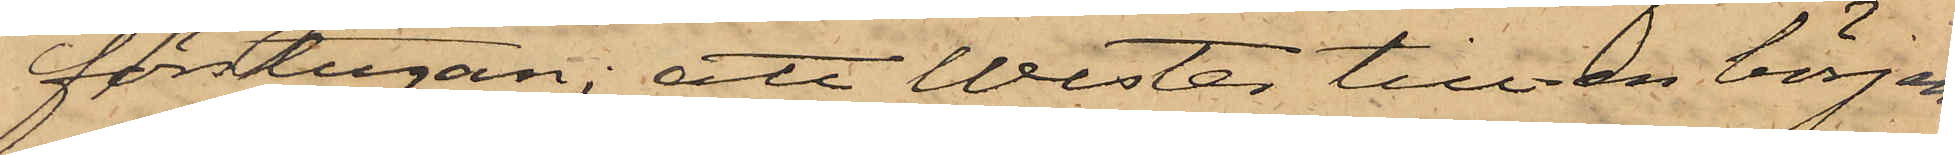förstugan; att Wester till en början
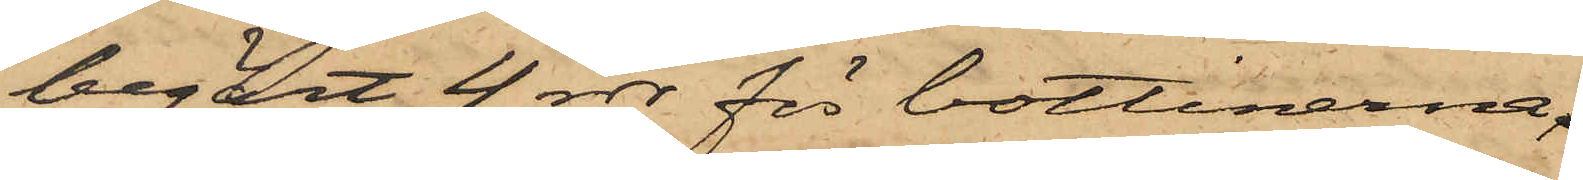begärt 4 rdr för bottinerna,
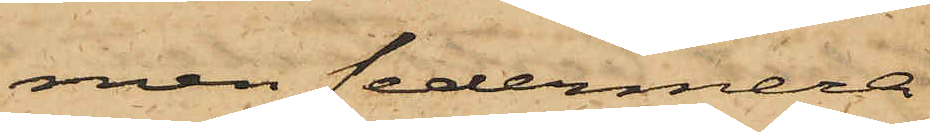men sedermera
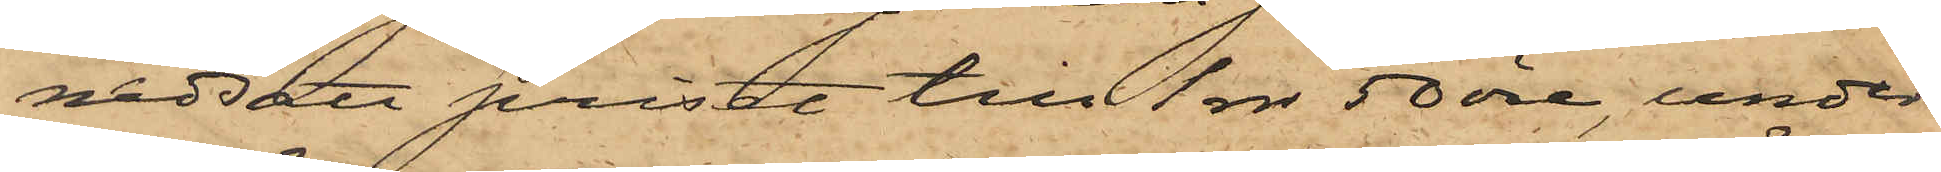nedsatt priset till 1 rdr 50 öre, under
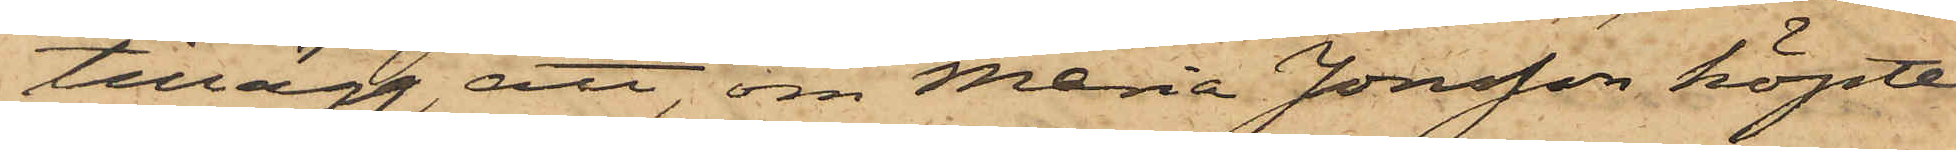tillägg, att, om Maria Jonsson köpte
